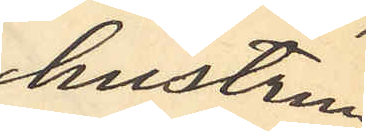hustrun
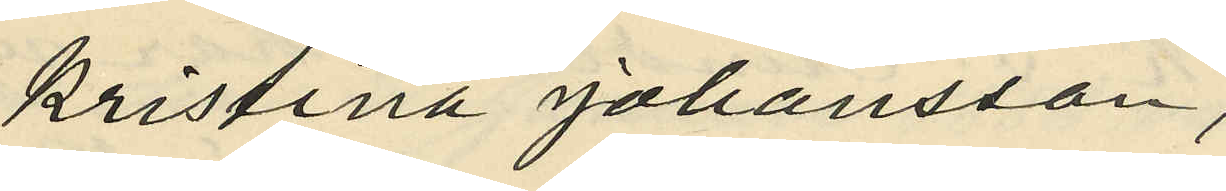Kristina Johansson,
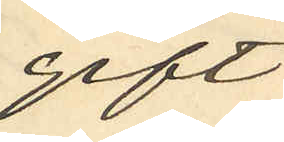gift
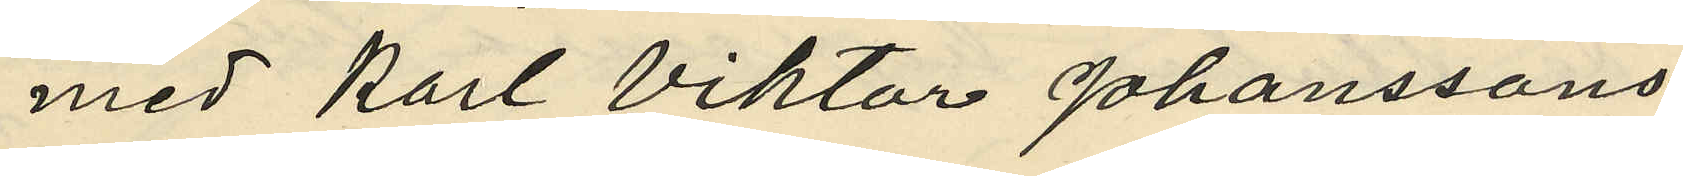med Karl Viktor Johanssons
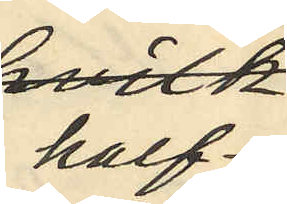half¬
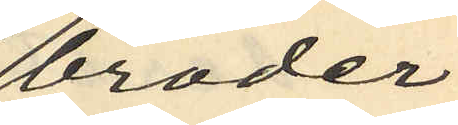broder
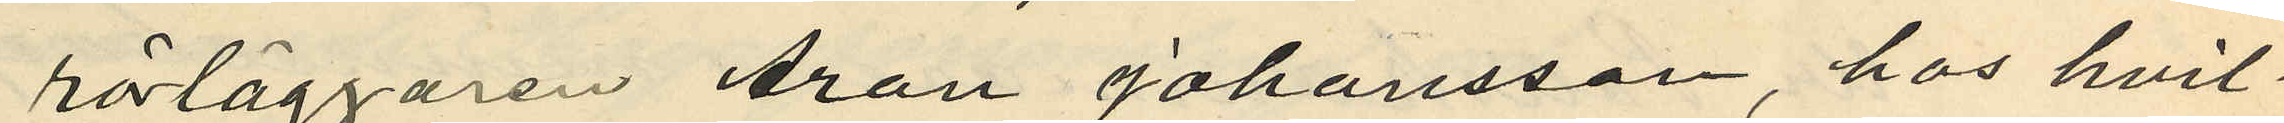rörläggaren Aron Johansson, hos hvil¬
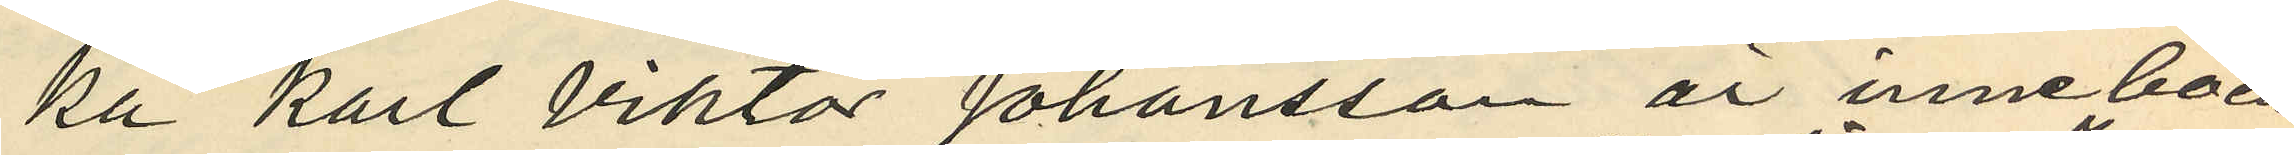ka Karl Viktor Johansson är inneboen¬
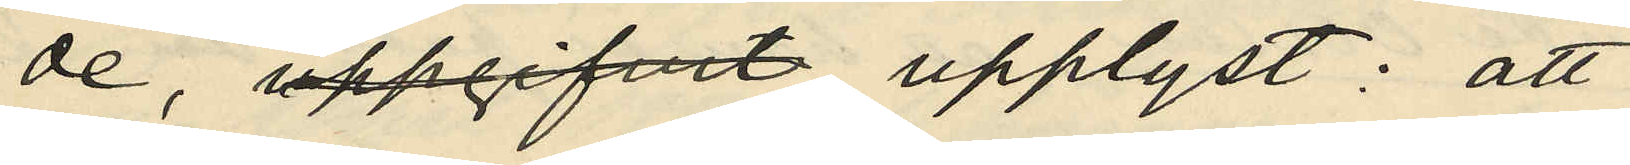de, uppgifvit upplyst: att
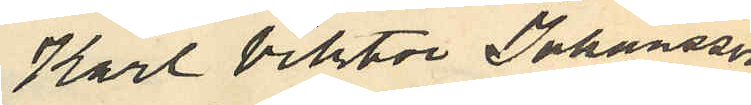Karl Viktor Johansson
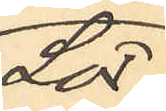Lör¬
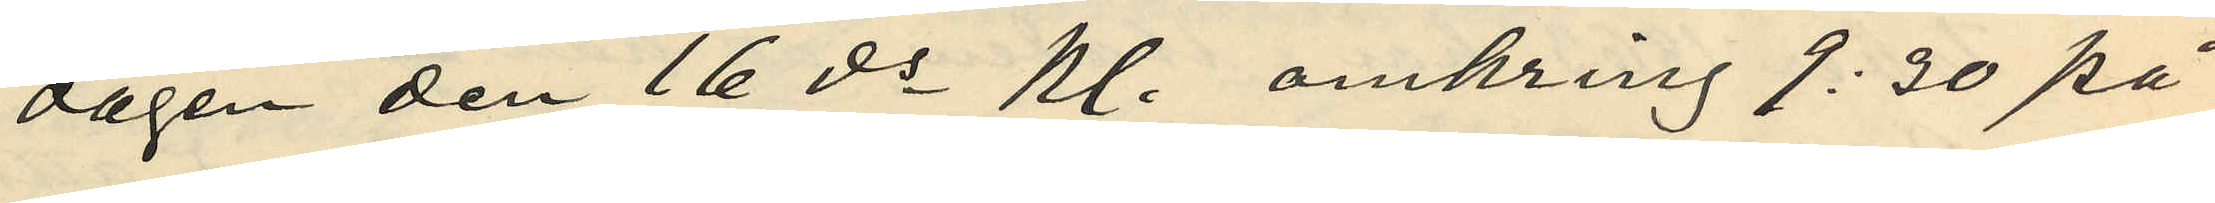dagen den 16 ds kl. omkring 9:30 på
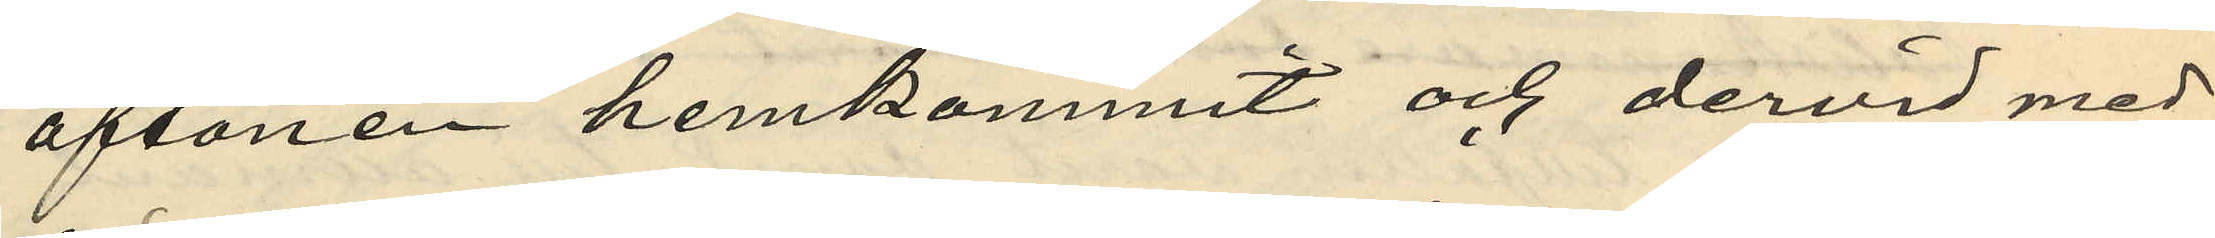aftonen hemkommit och dervid med¬
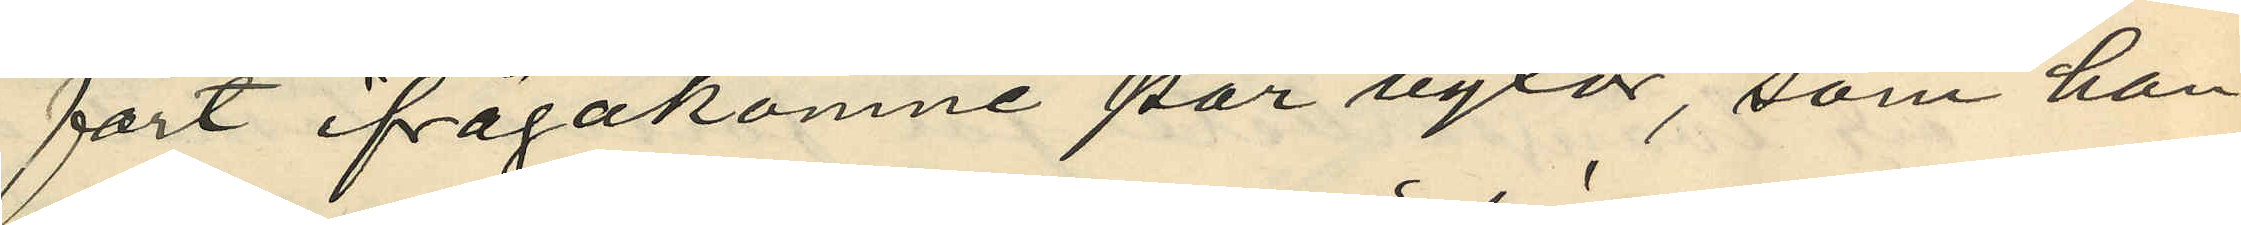fört ifrågakomne par byxor, som han
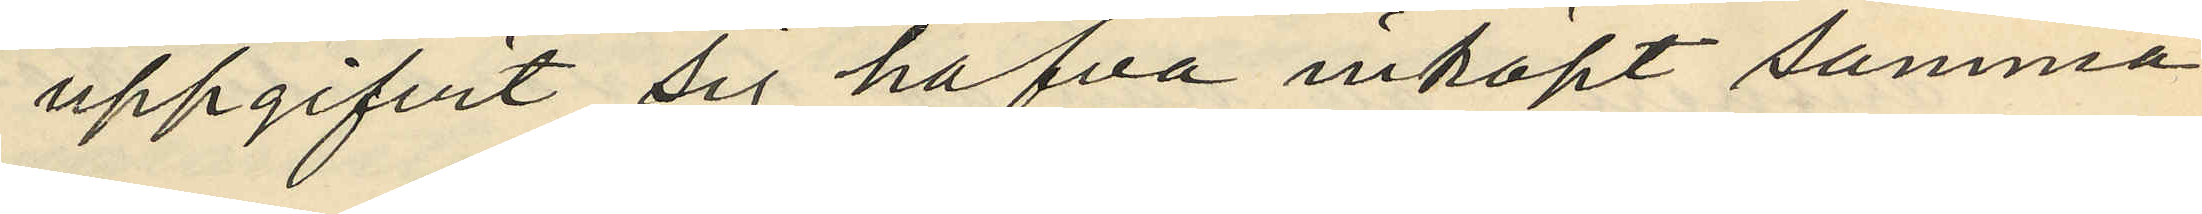uppgifvit sig hafva inköpt samma
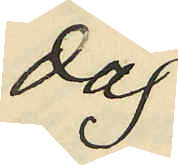dag.
